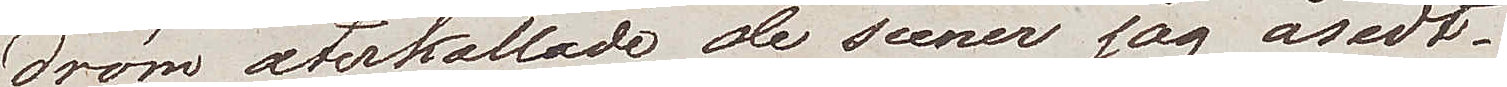dröm återkallade de scener jag åsedt.
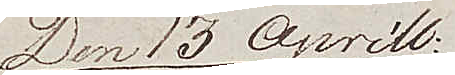Den 13 Aprill:
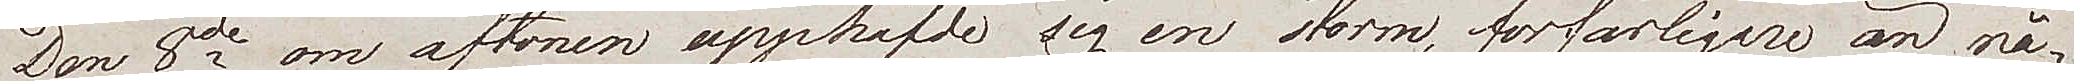Den 8de om aftonen upphäfde sig en storm, förfärligare än nå¬
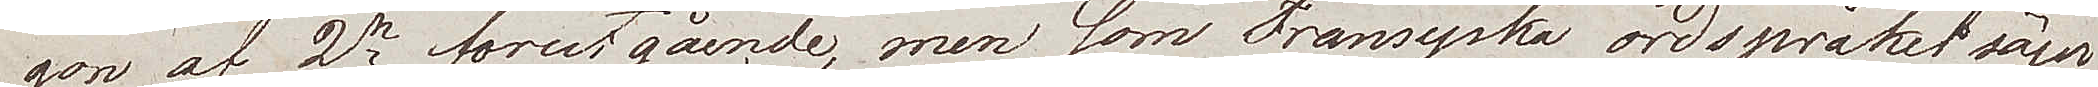gon af 2ne förutgående, men som Fransyska ordspråket säger
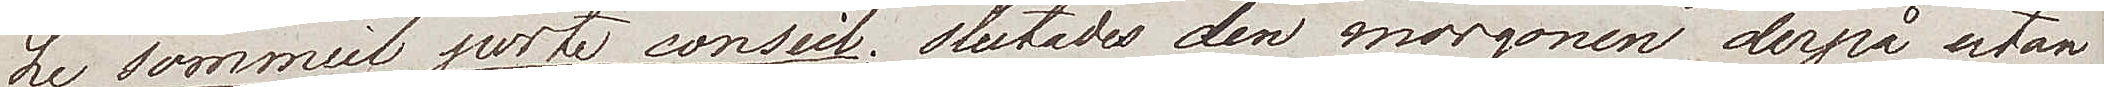Le sommeil porte conseil, slutades den morgonen derpå utan
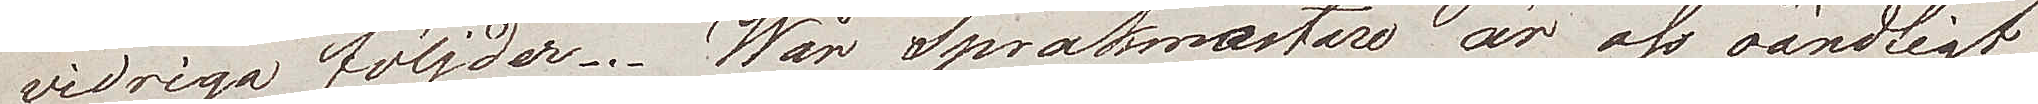vidriga följder. Wår språkmästare är oss oändligt
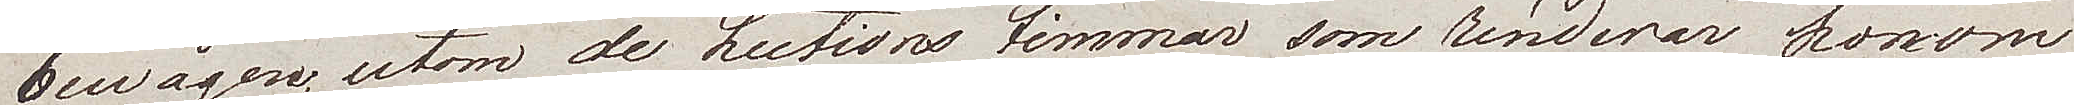bevågen, utom de Lections timmar som renderar honom
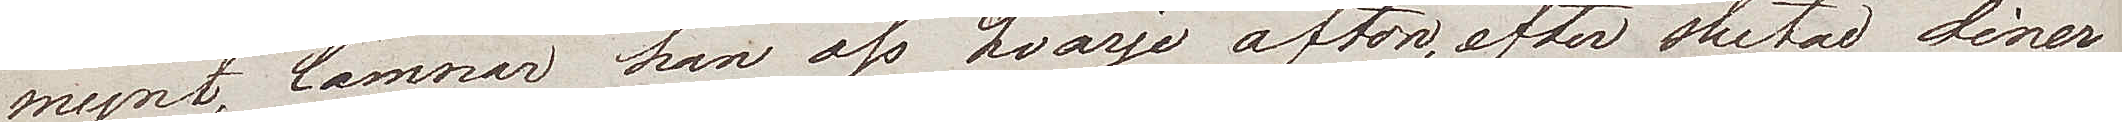mynt, lämnar han oss hvarje afton, efter slutad diner
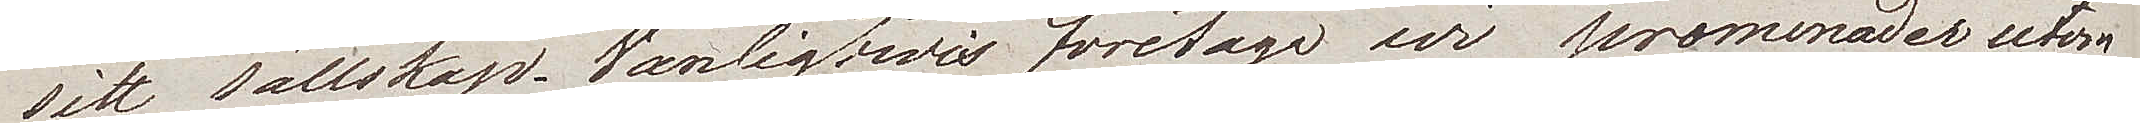sitt sällskap. Vanligtvis företaga vi promenader utom
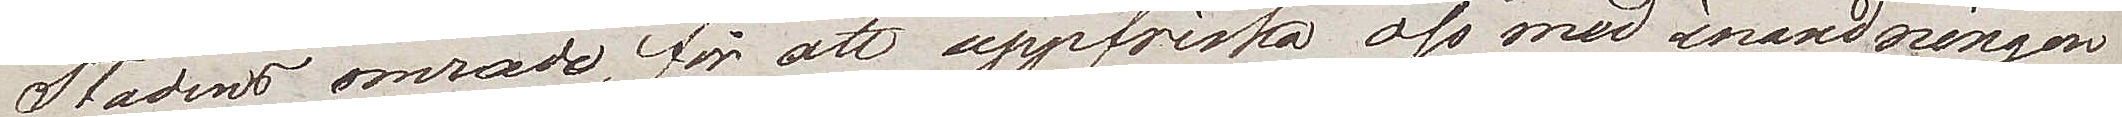Stadens område, för att uppfriska oss med inandningen
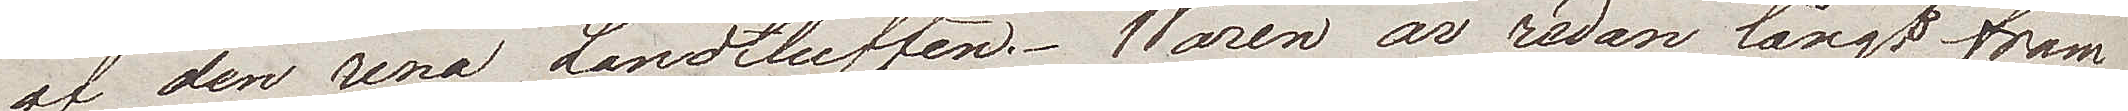af den rena Landtluften. Våren är redan långt fram¬
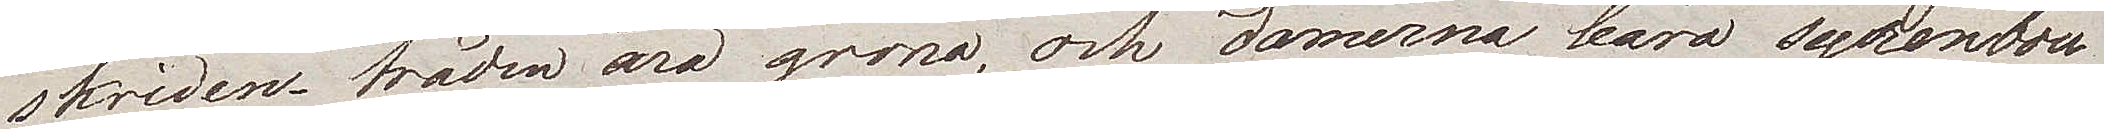skriden, träden äro gröna och damerna bära syrénbou¬
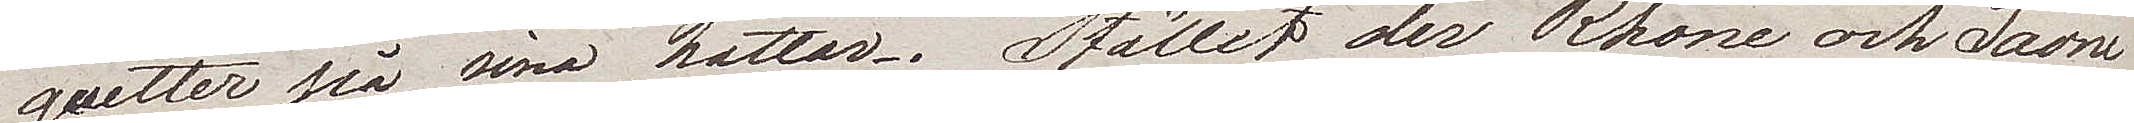quetter på sina hattar. Stället där Rhone och Saone
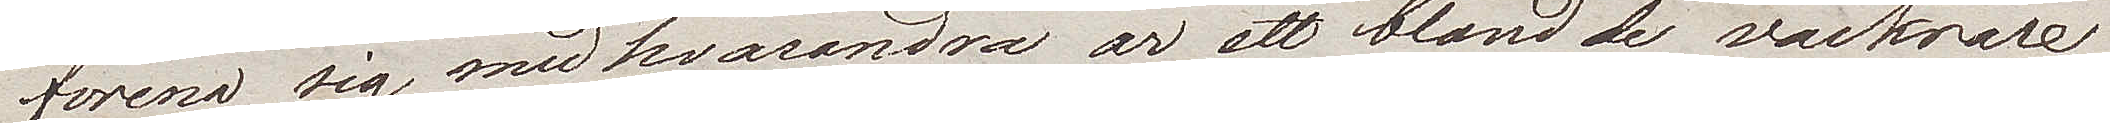förena sig med hvarandra är ett bland de vackrare
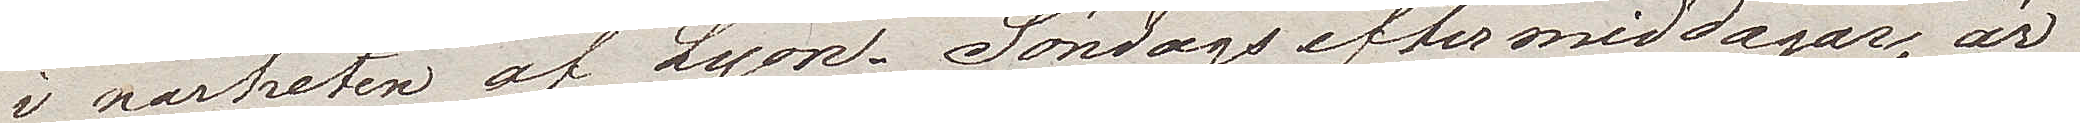i närheten av Lyon. Söndagseftermiddagar, är
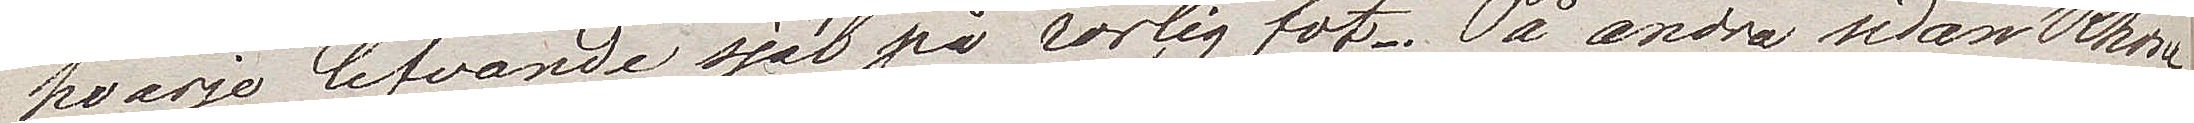hvarje lefvande själ på rörlig fot. På andra sidan Rhone
